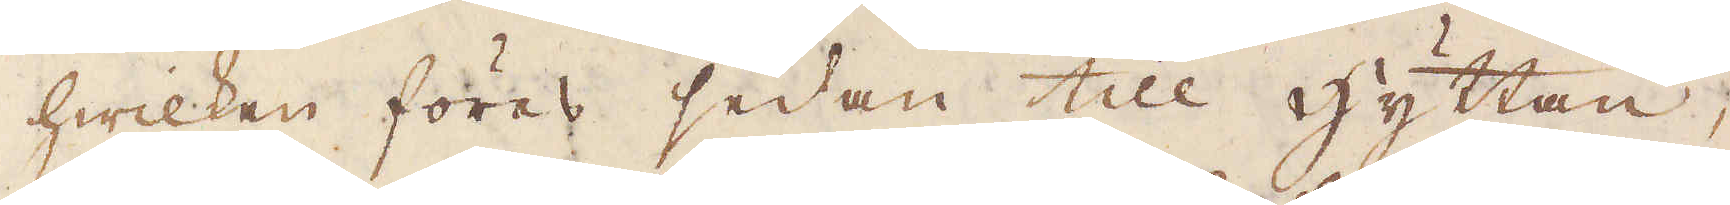hwilken föres sedan till hyttan,
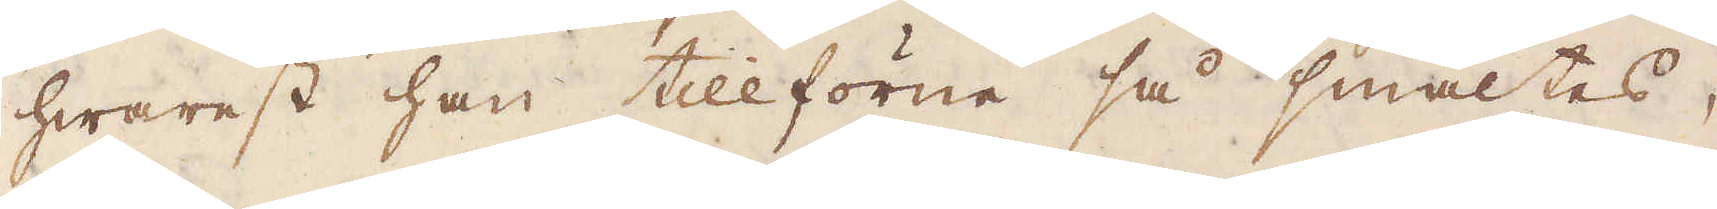hwarest han tillförene så smältes,
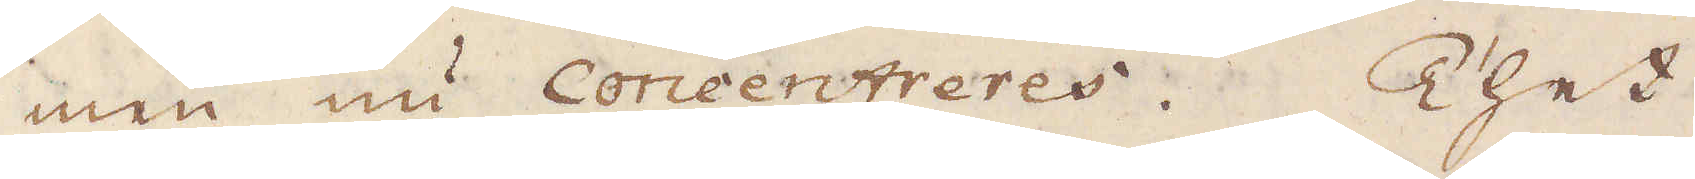men nu Concentreres. Thet
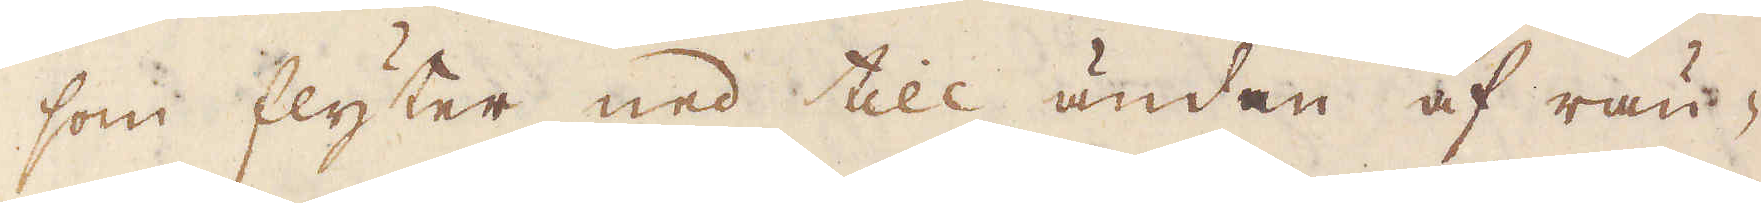som flyter ned till ändan af rän-
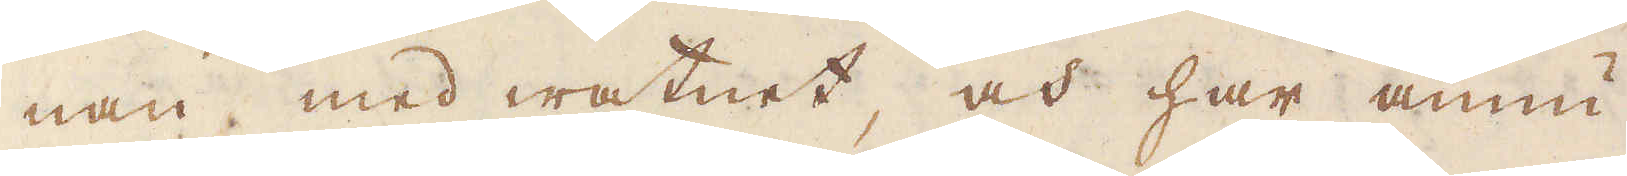nan med watnet, och har ännu
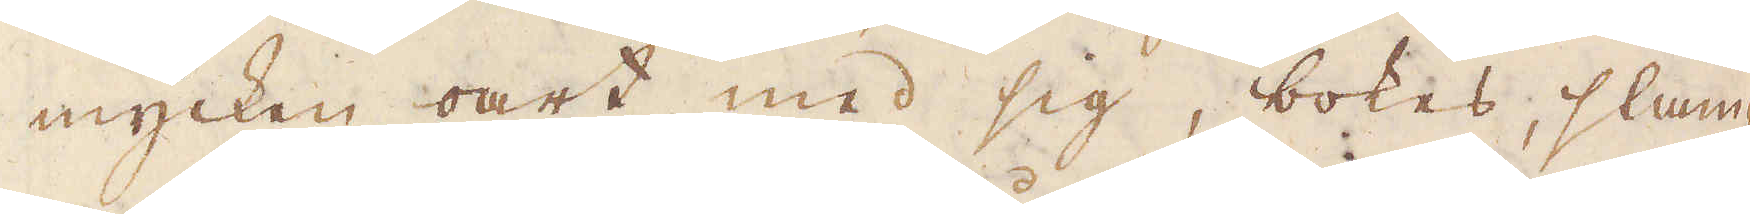mycken oart med sig, bokas, slum-
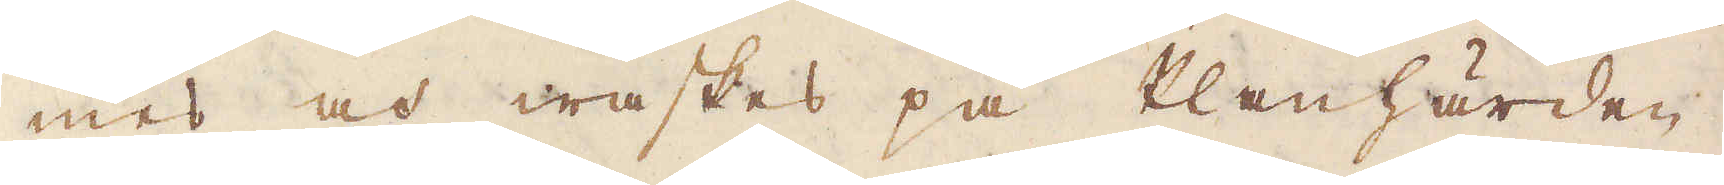mes och waskas på Planhärden.
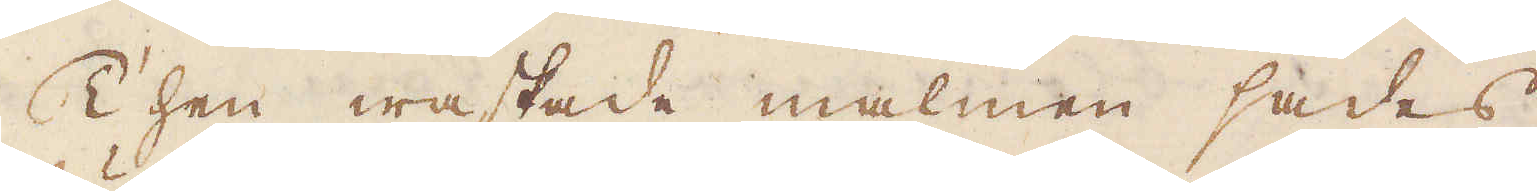Then waskade malmen sades
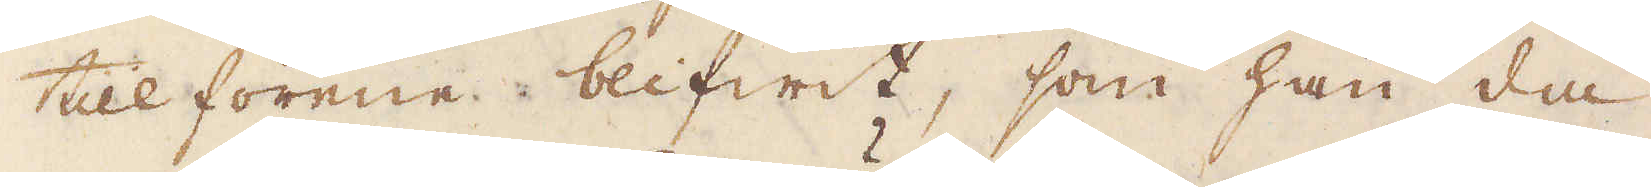tillförene blifwit, som han då
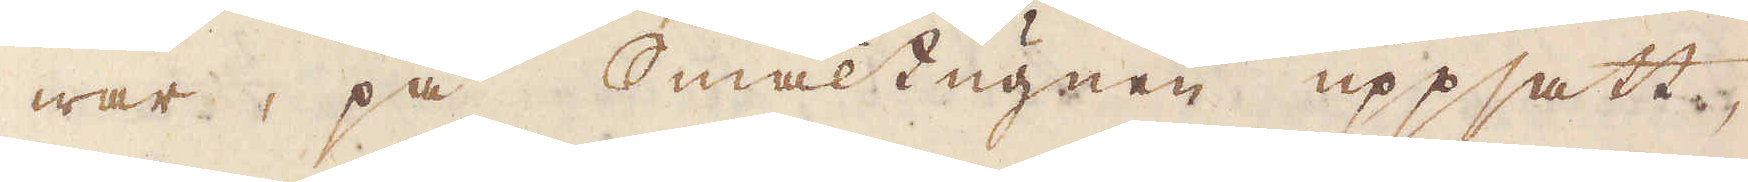war, på smältugnen uppsatt,
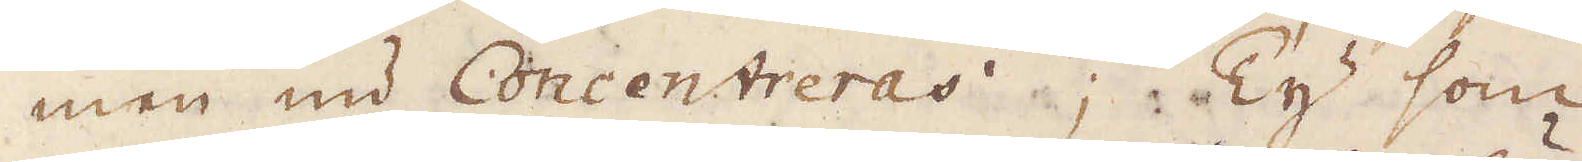men nu Concentreras; Ty som
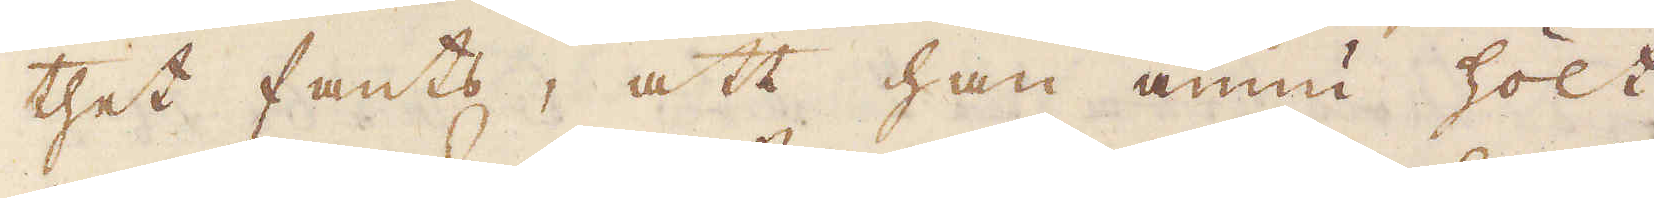thet fants, att han ännu hölt
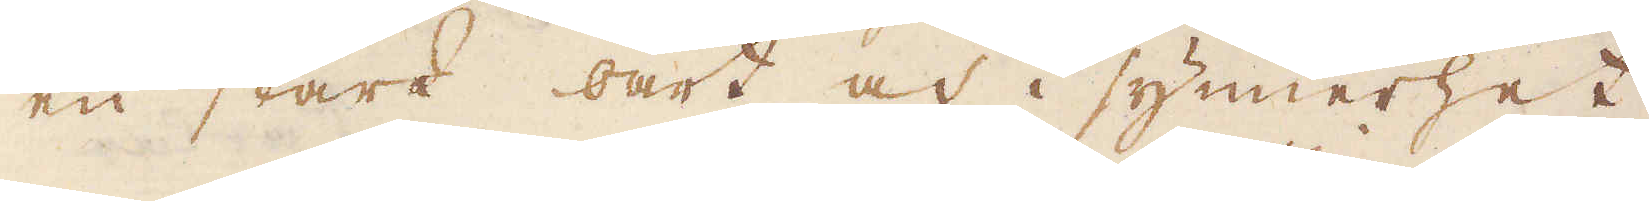en stark oart och i synnerhet,
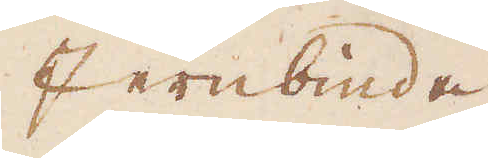Jernbinda
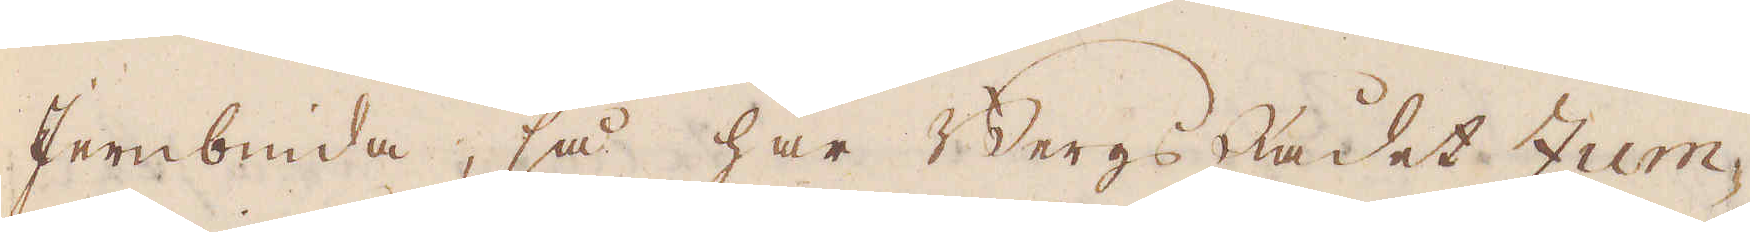Jernbind, så har BergsRådet Zum-
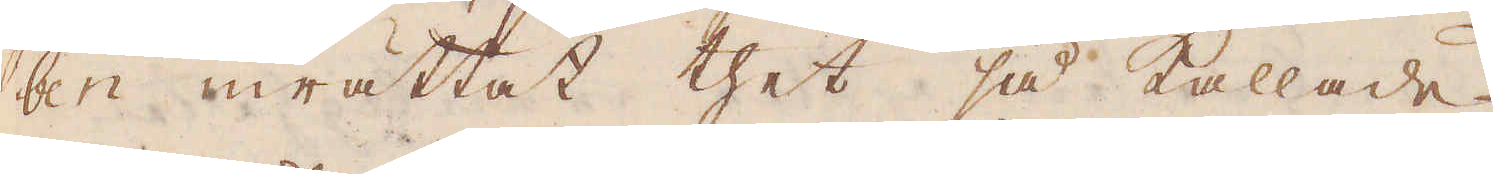ben inrättat thet så kallade
